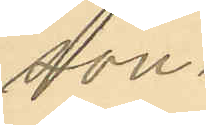son.
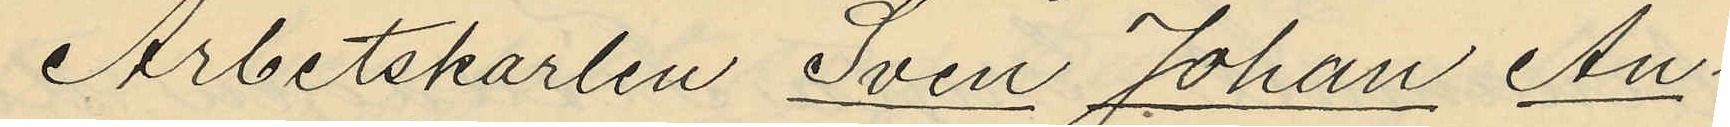Arbetskarlen Sven Johan An¬
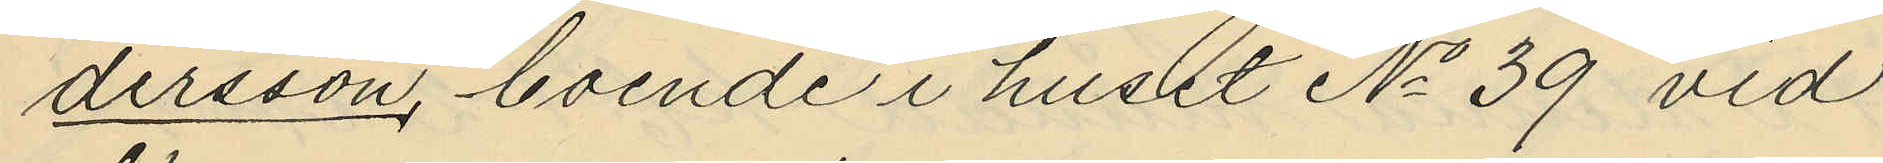dersson, boende i huset No 39 vid
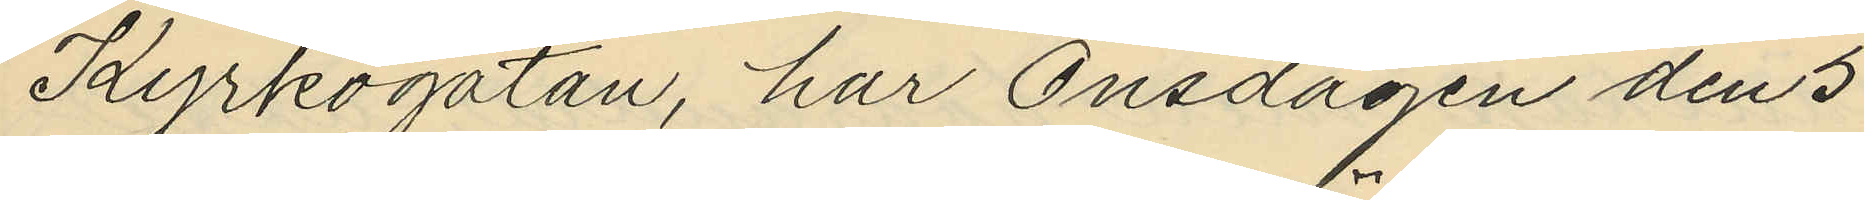Kyrkogatan, har Onsdagen den 3
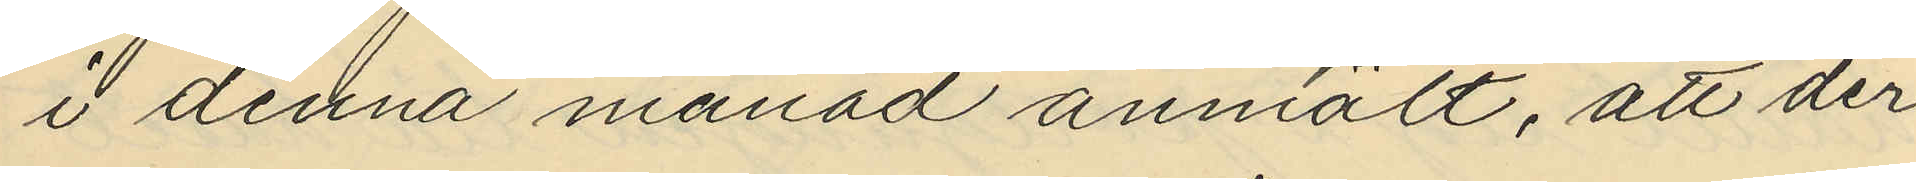i denna månad anmält, att der
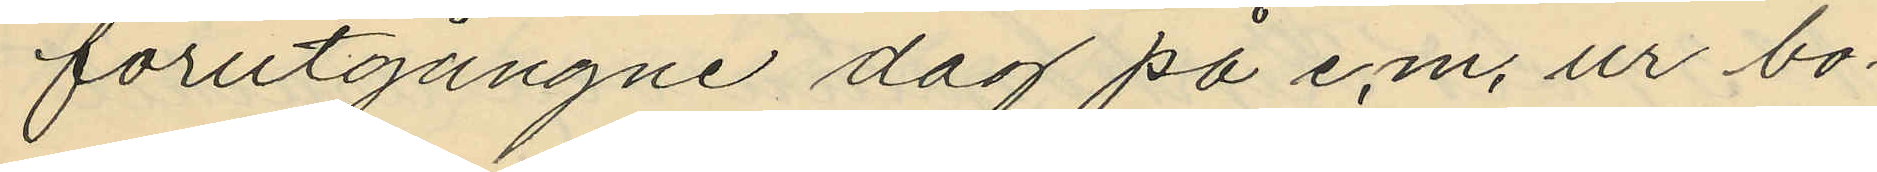förutgångne dag på e.m. ur bo¬
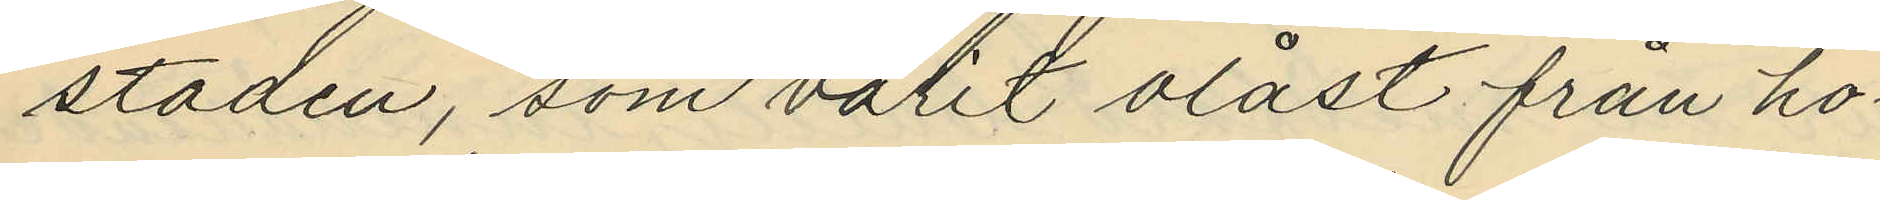staden, som valit olåst från ho¬
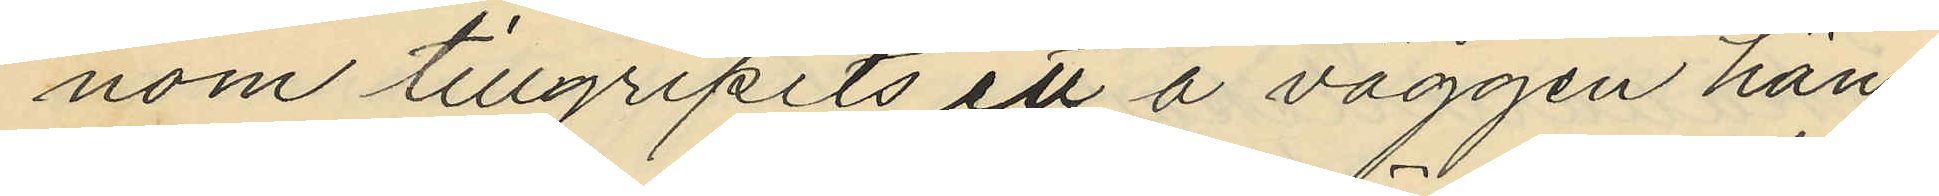nom tillgripits ett å väggen häng¬
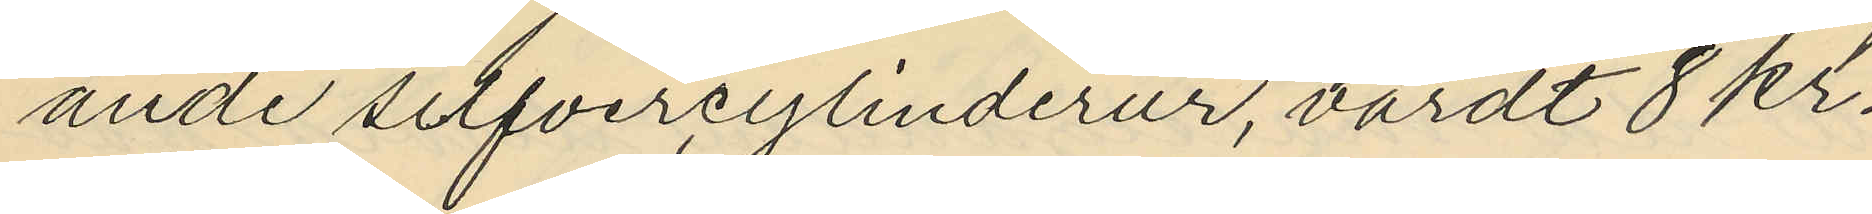ande silfvercylinderur, värdt 8 kr.
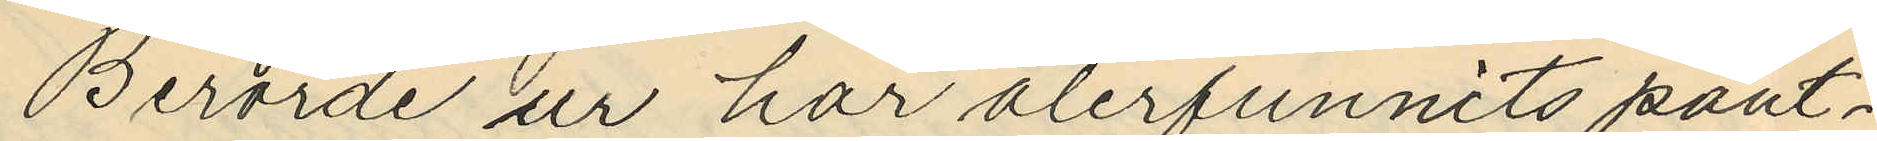Berörde ur har återfunnits pant¬
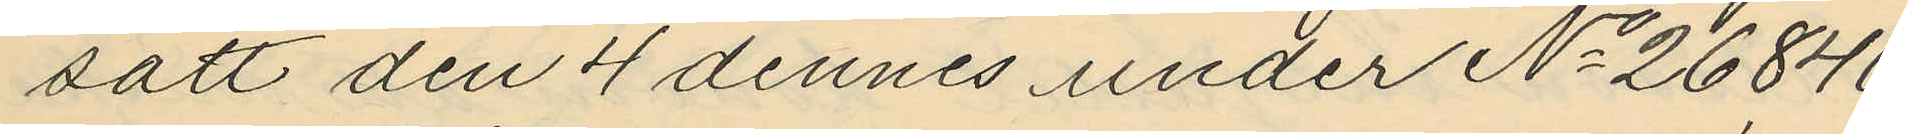satt den 4 dennes under No 26846
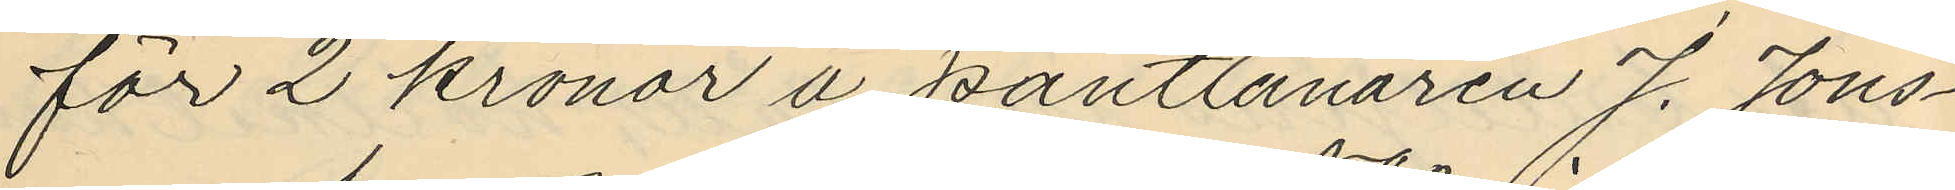för 2 kronor å pantlånaren J. Jons¬
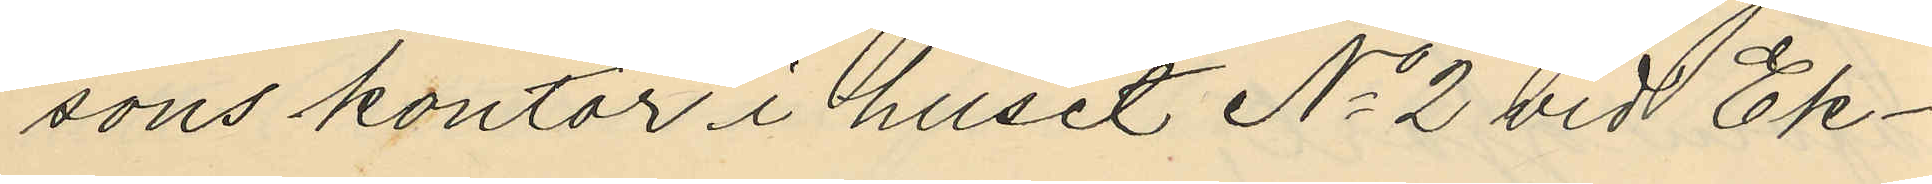sons kontor i huset No 2 vid Ek¬
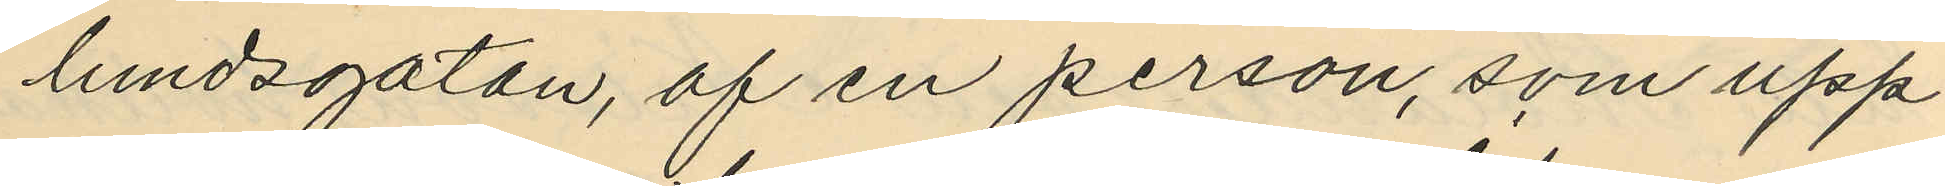landsgatan, af en person, som upp¬
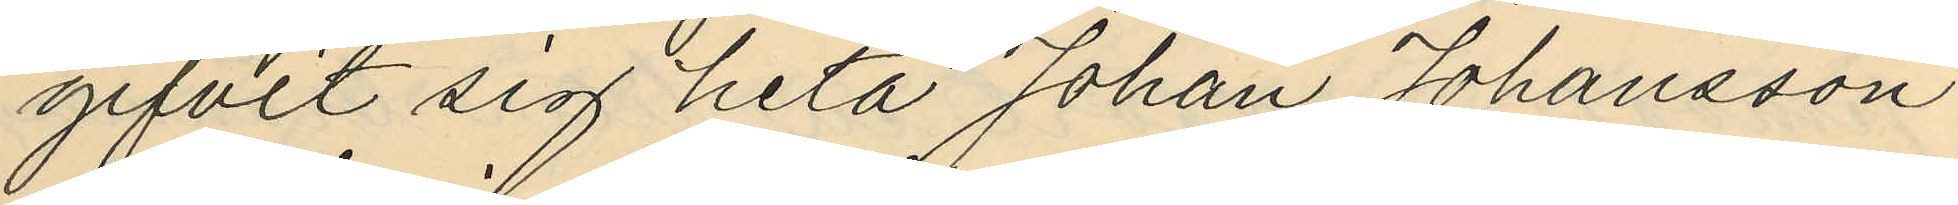gifvit sig heta Johan Johansson
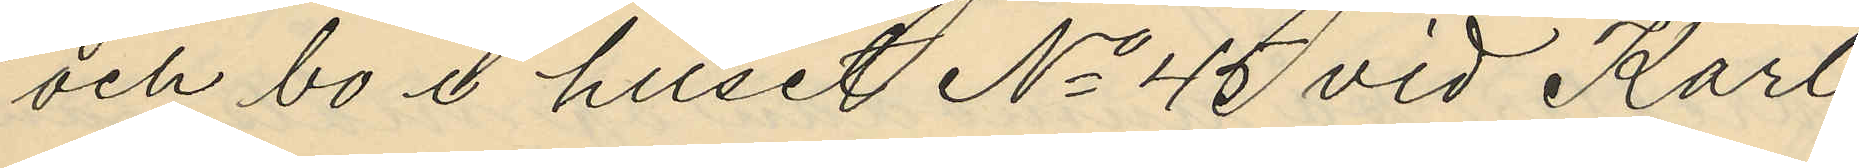och bo i huset No 45 vid Karl
